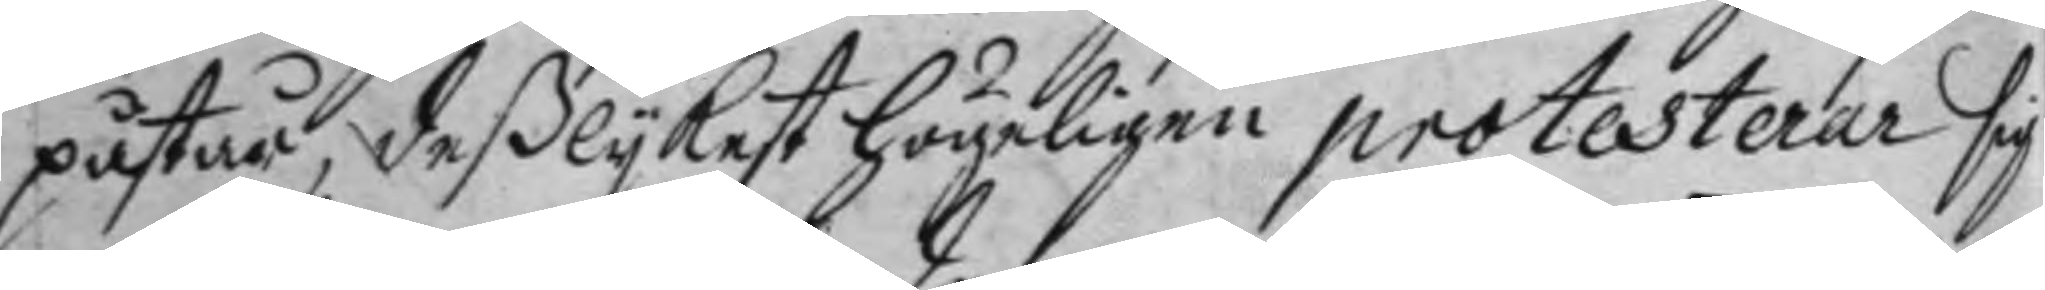påstår, deßlykest högeligen protesterar sig
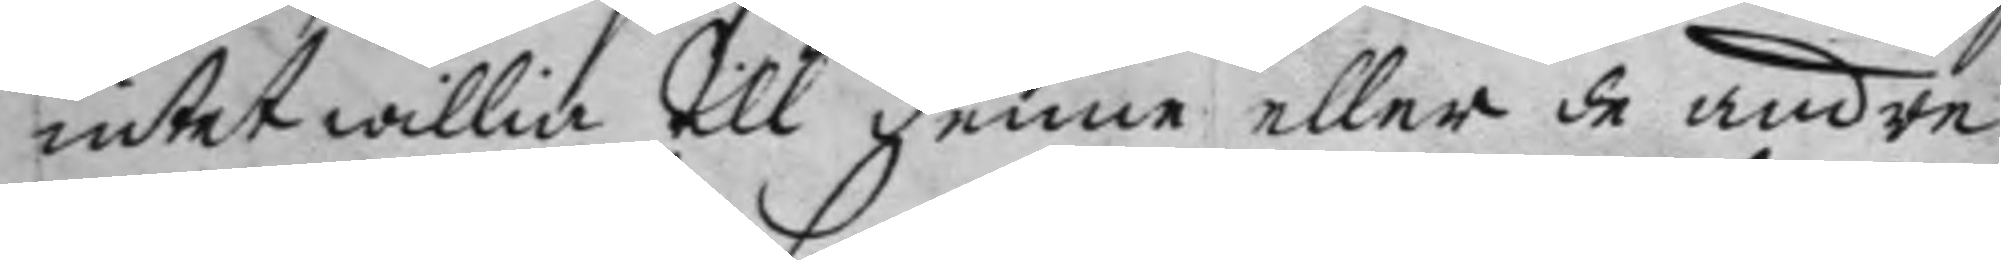intet willia till denne eller de andre
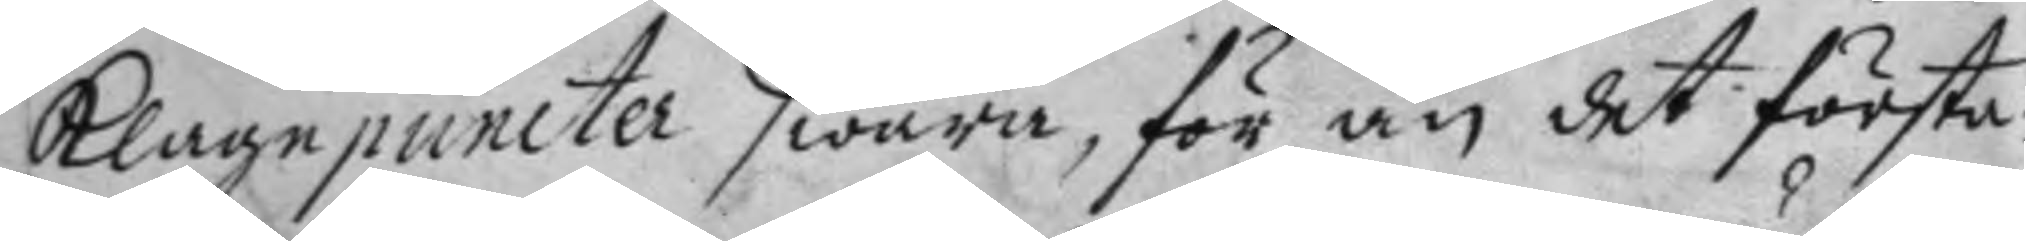klagopuncter swara, för än det första
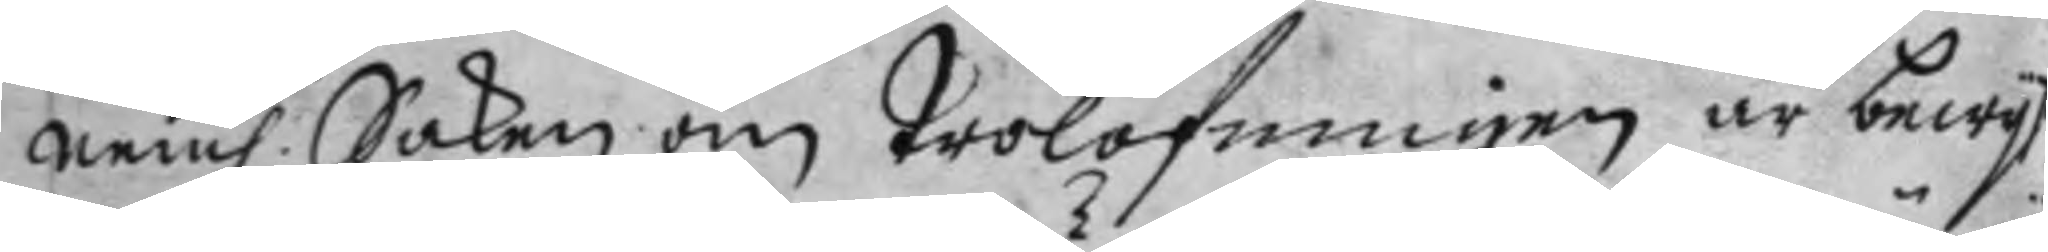nem. Saken om trolofningen är bewyst
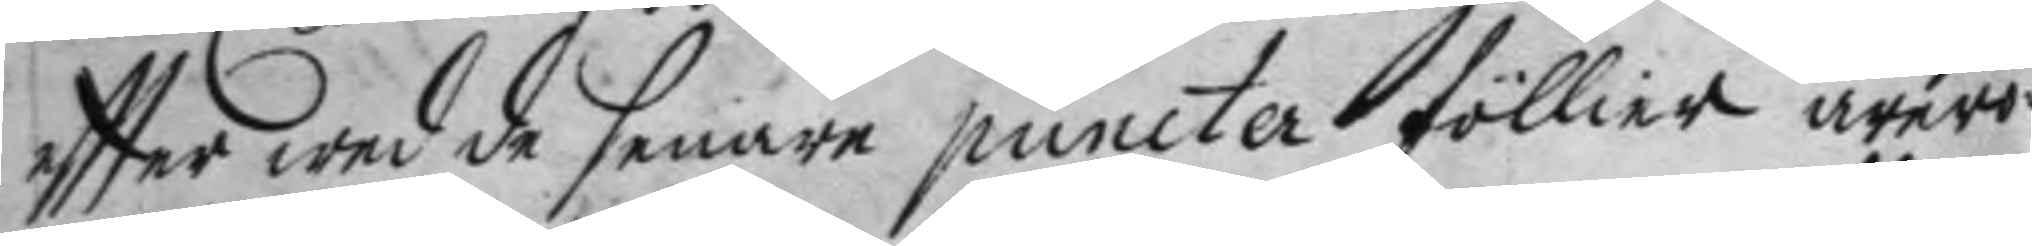eftter wed de senare puncter föllier ärerö¬
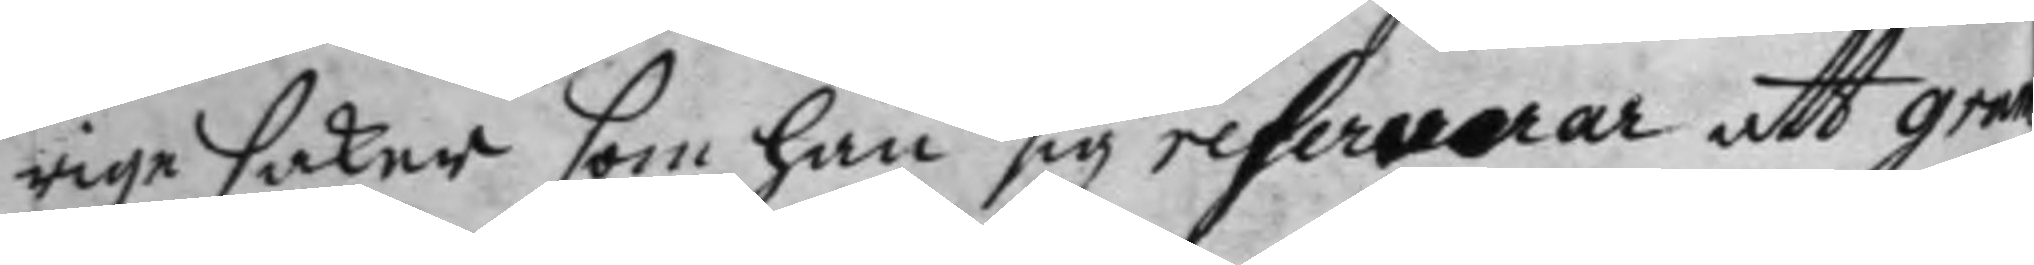rige saker som han sig refererar att gram
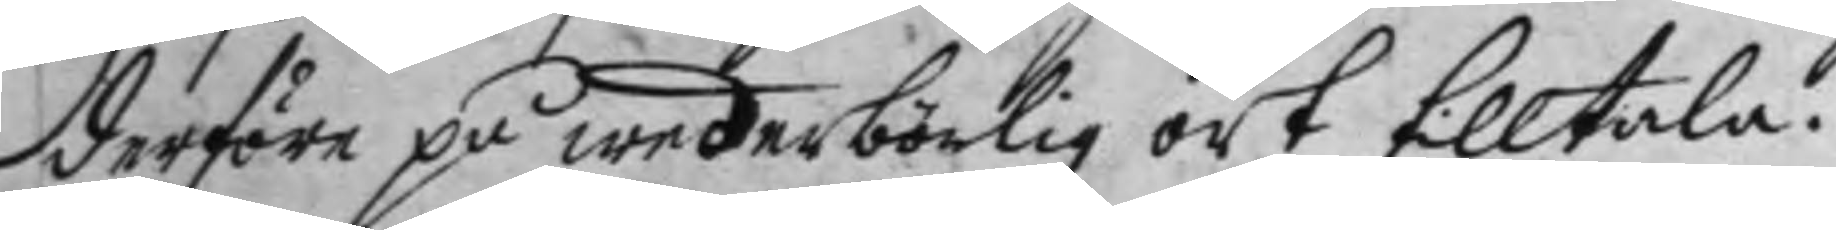derföre på wederbörlig ort tilltala.
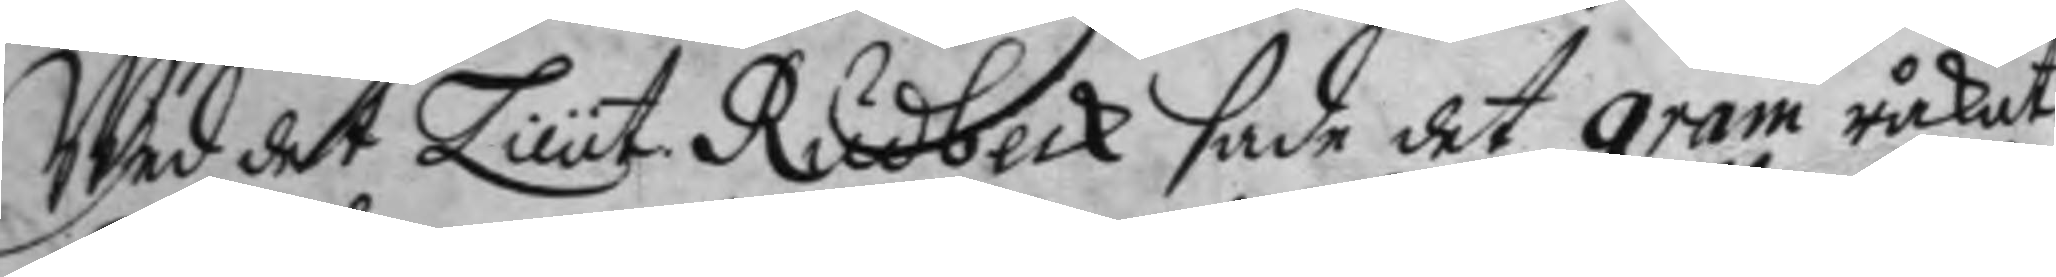wed det Lieut. Rudbeck sade det gram råkat
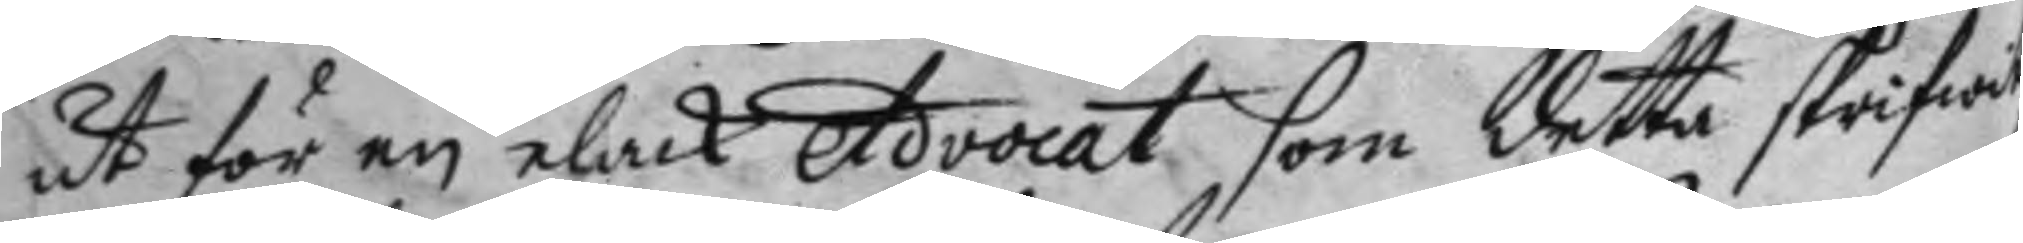ut för en elack Advocat som detta skrifwit,
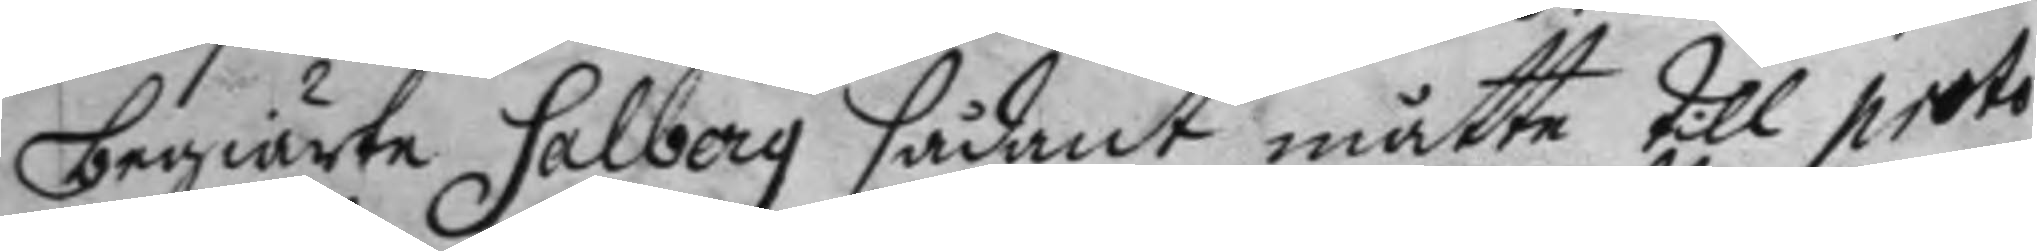begiärte Salberg sådant måtte rill proto¬
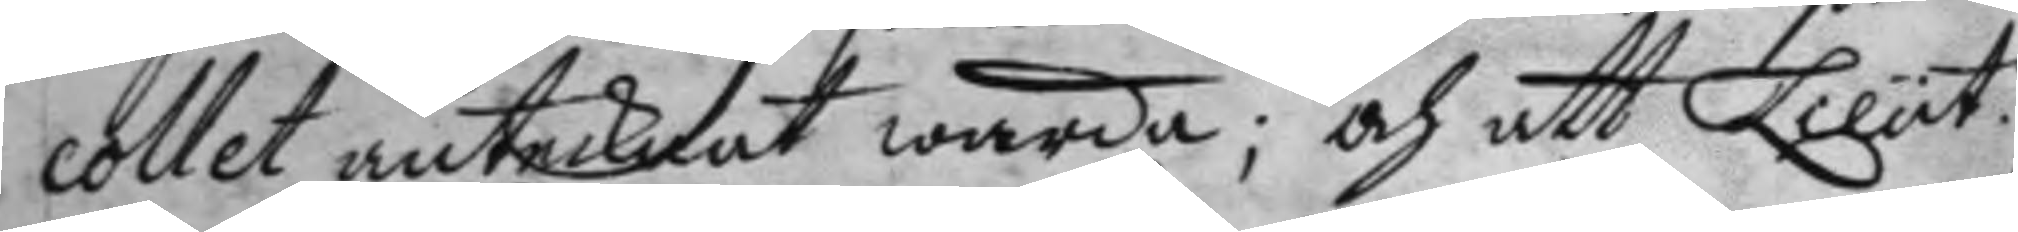collet antecknat warda; och att Lieut.
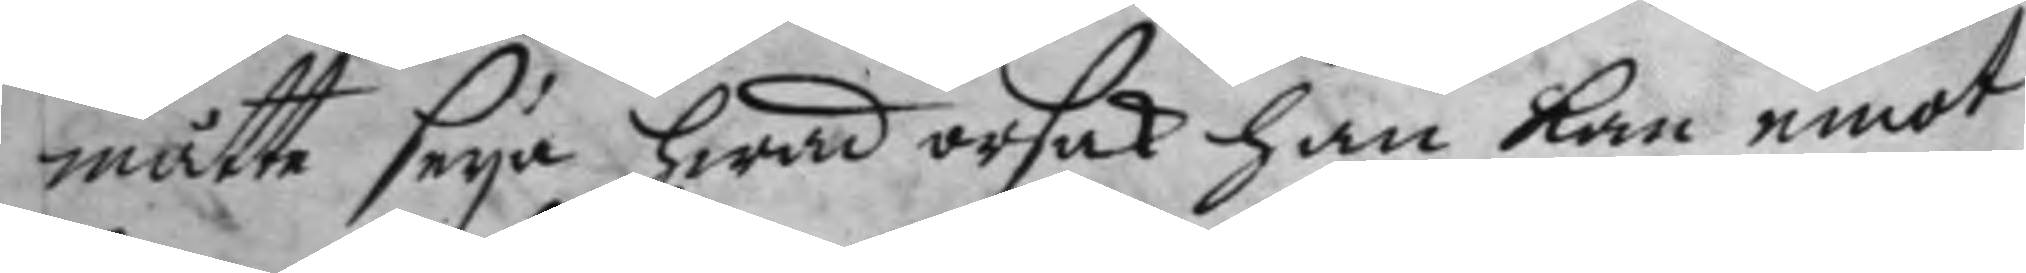måtte seya hwad orsak han kan emot
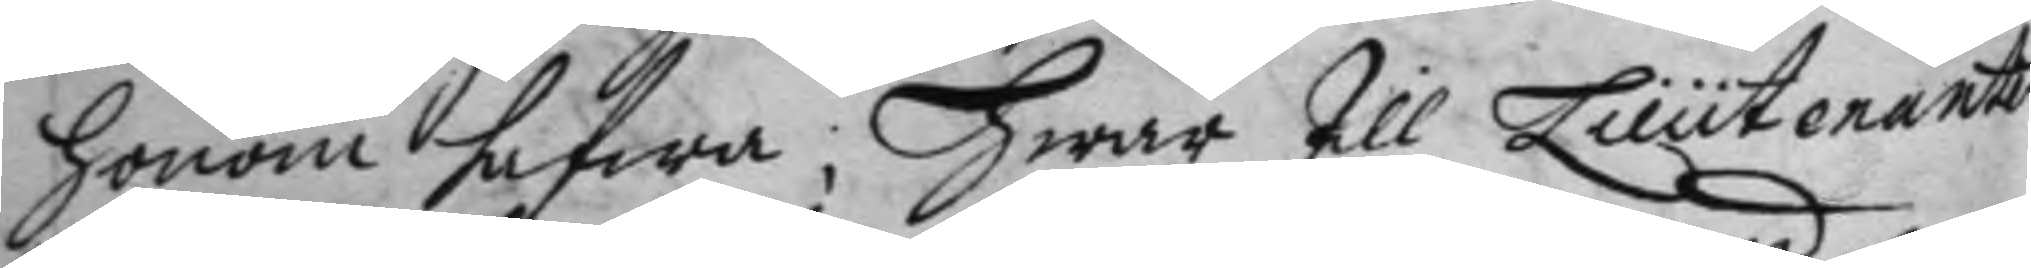honom hafwa; hwar till Lieutenanten
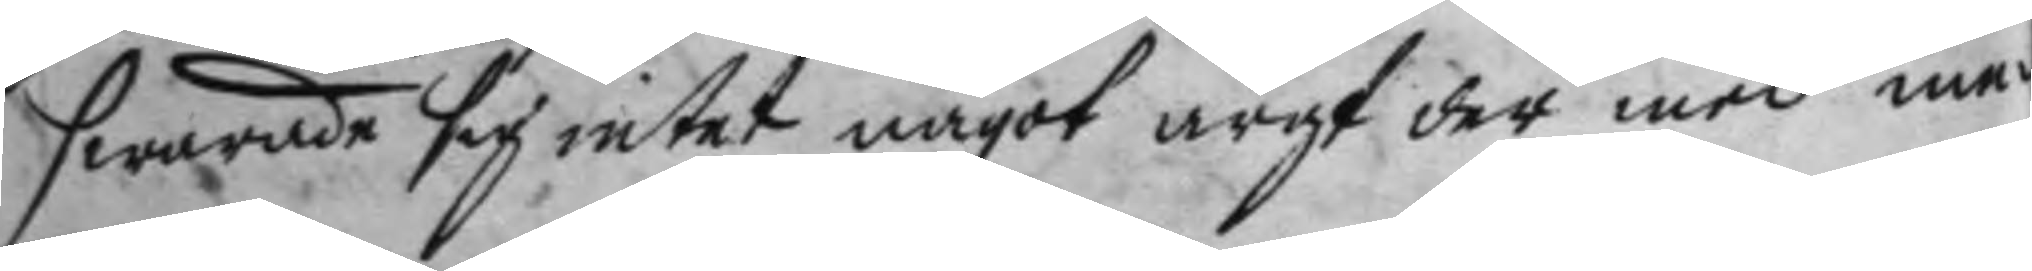swarade sig intet något argt der med me¬
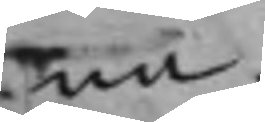na.
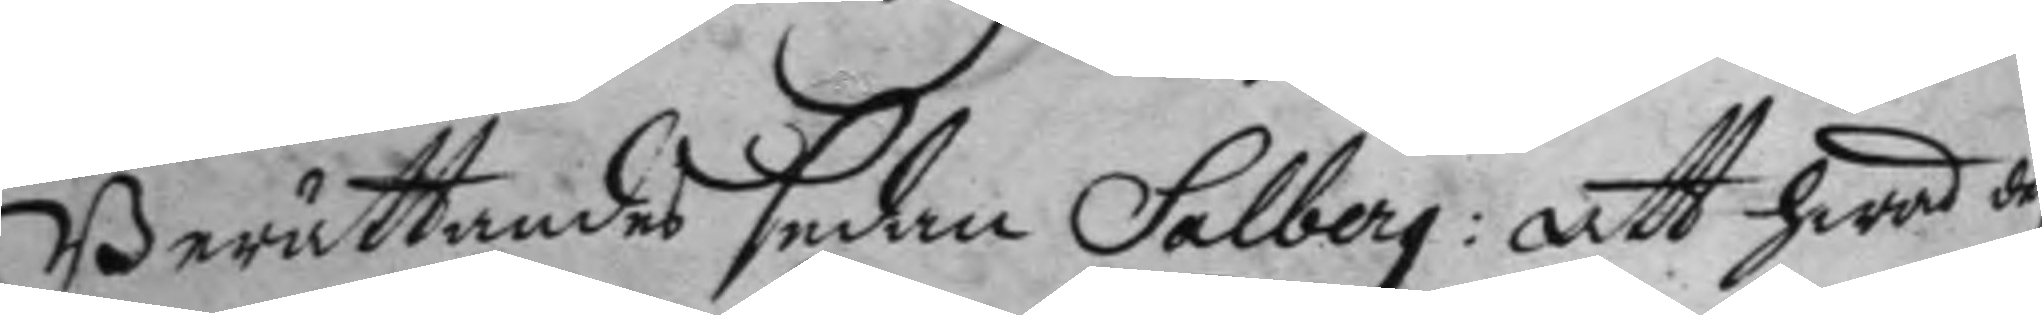Berättandes sedan Salberg: att hwad den
